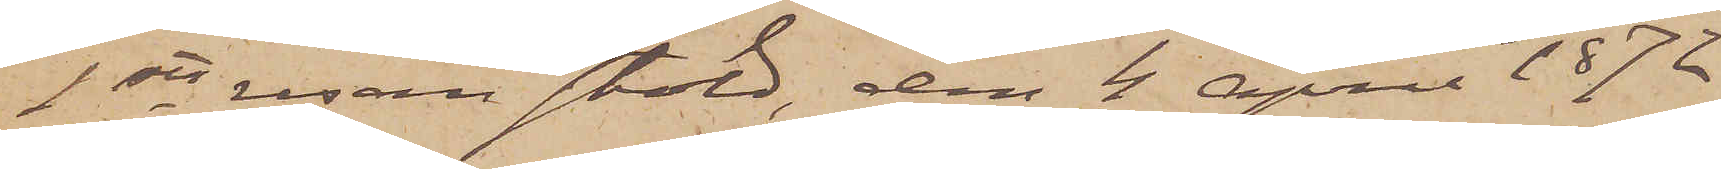1sta resan stöld, den 4 April 1872
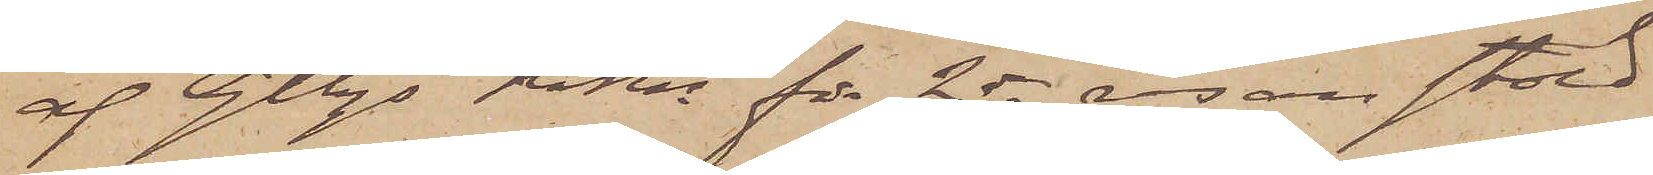af Gtbgs RRtt för 2dra resan stöld
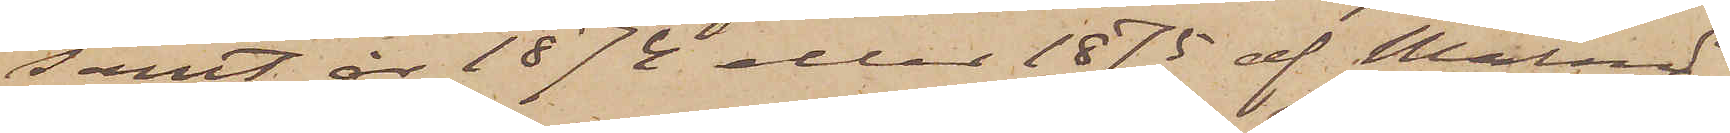samt år 1874 eller 1875 af Malmö
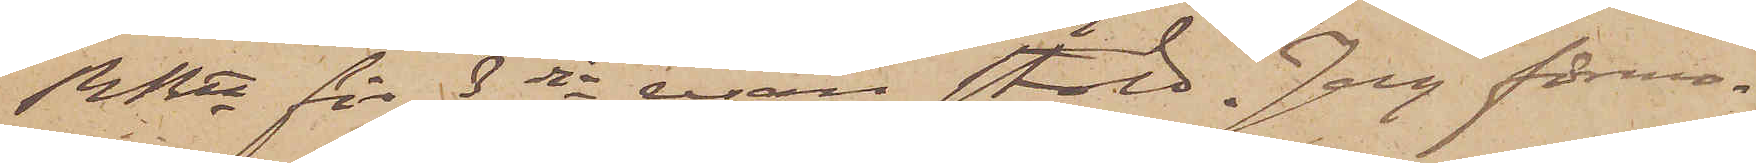RRtt för 3dje resan stöld. Jag förmo¬
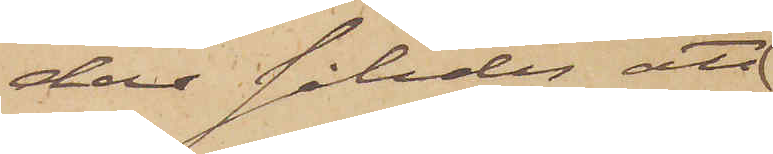dar således; att
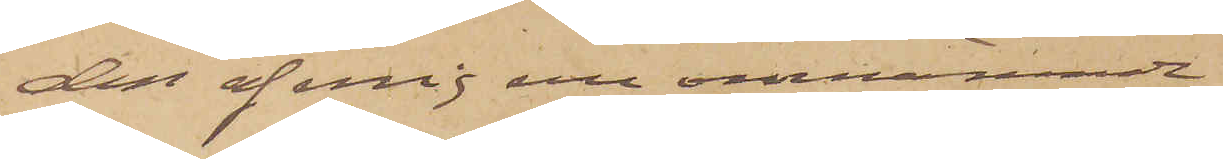den af mig nu omnämnde
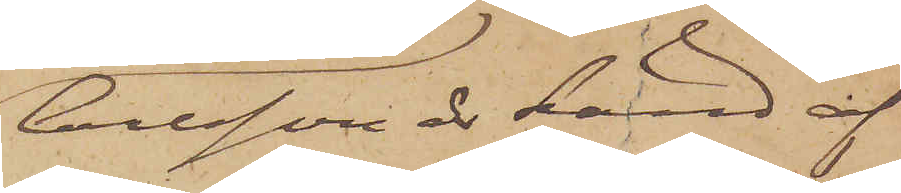Carlsson är känd af
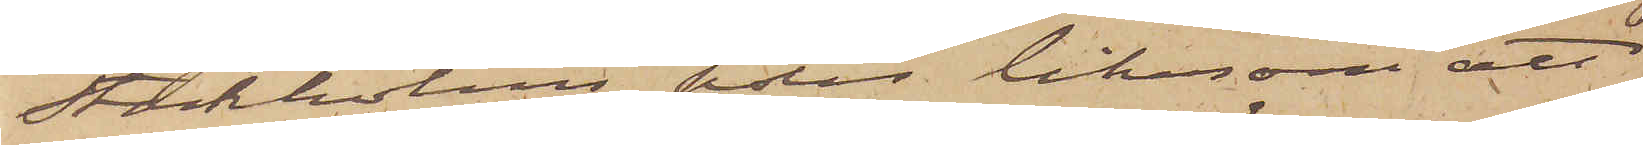Stockholms polis liksom att
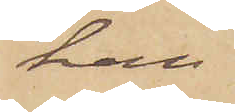han
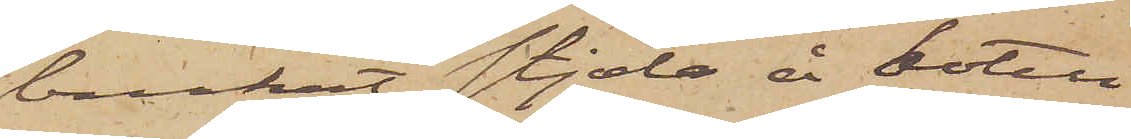brukat stjäla å hotell
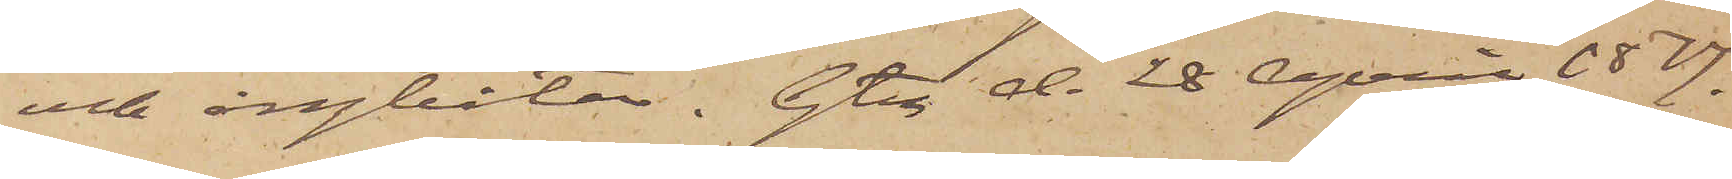och ångbåtar. Gtg d. 28 April 1877.
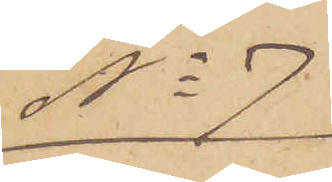No 7
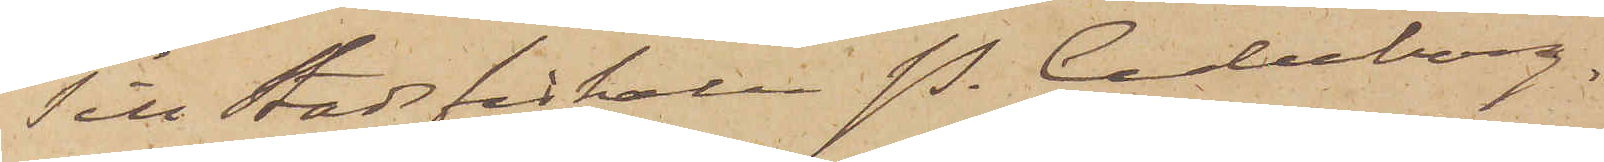Till Stadsfiskalen P. Cederborg.
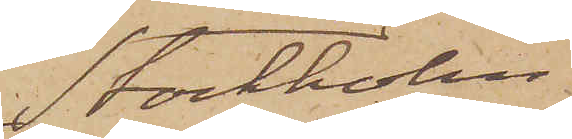Stockholm.
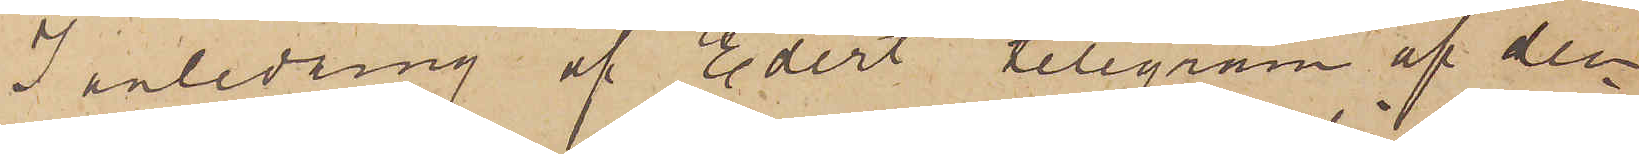I anledning af Edert telegram af den
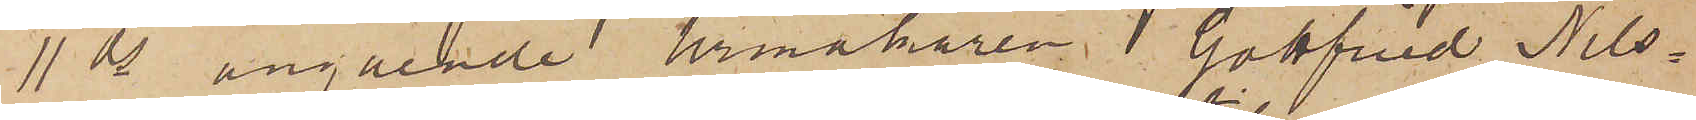11 ds angående Urmakaren J. Gottfried Nils¬
